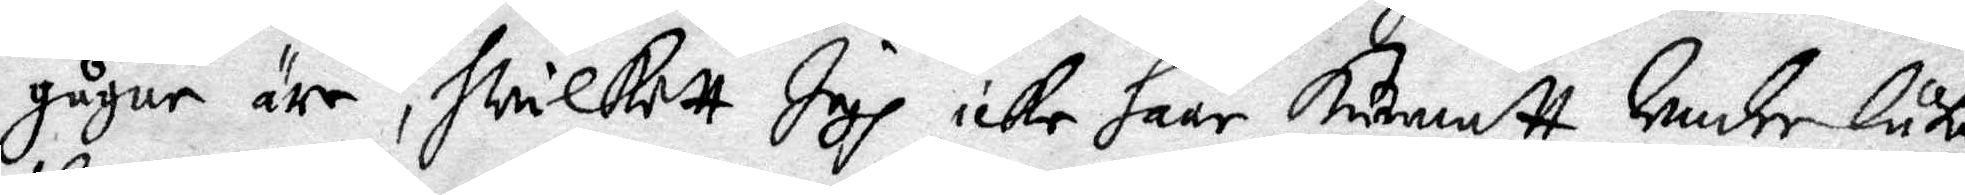gågne äre, hwilkett Jagh icke haar kunnatt Undre låta
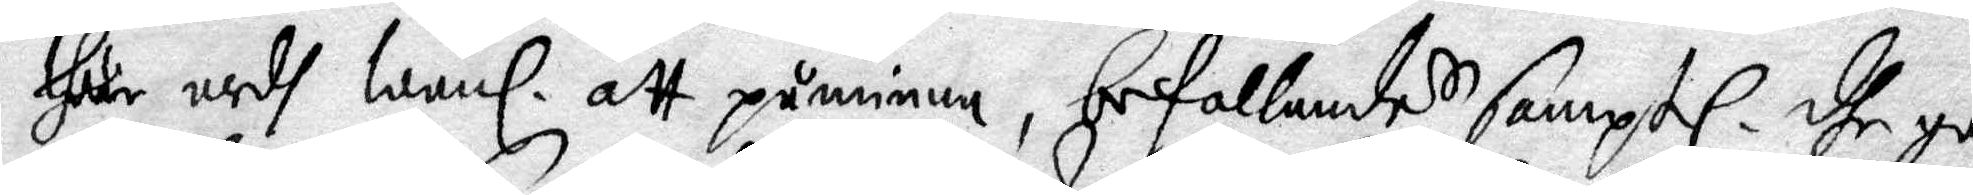thär medh Wanl. att påminna, befallandes samptl. dhe go¬
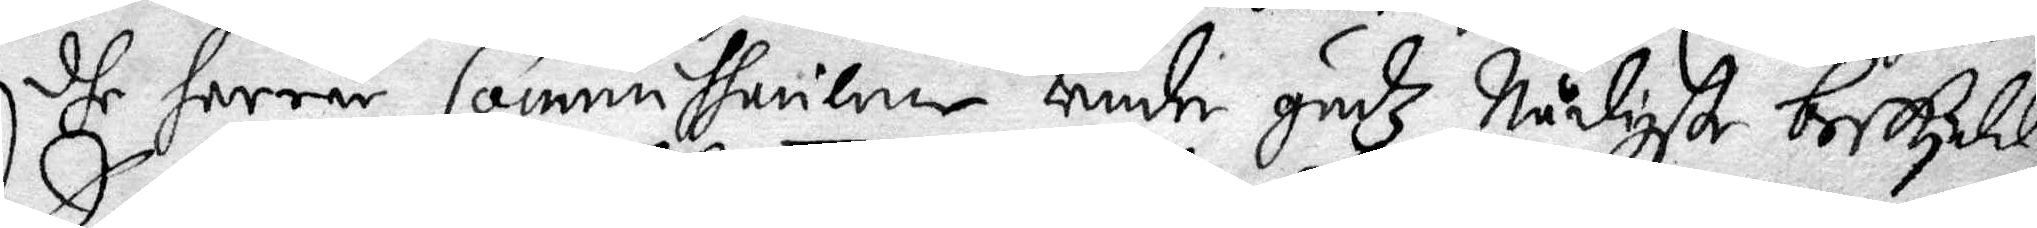dhe herrar Commissaricner Under Gudz Nådigste beskydd,
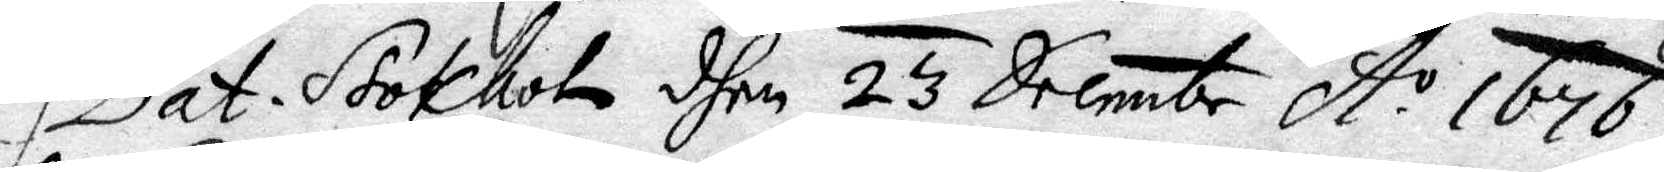Dat. Stokholm dhen 23 Decembr A o 1676.
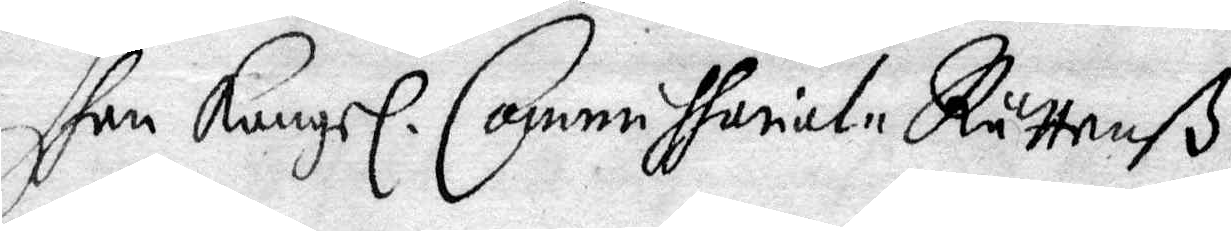dhen Kongl. Commissorial-Rättenß
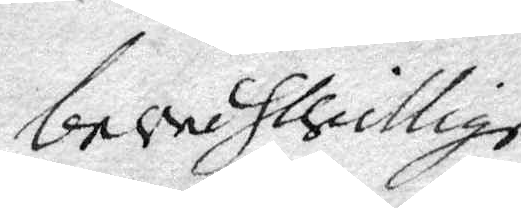beskillige
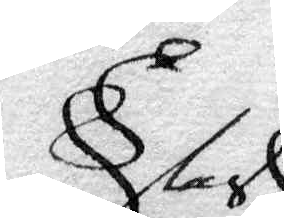Clas
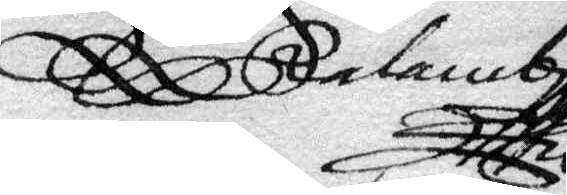Rålamb
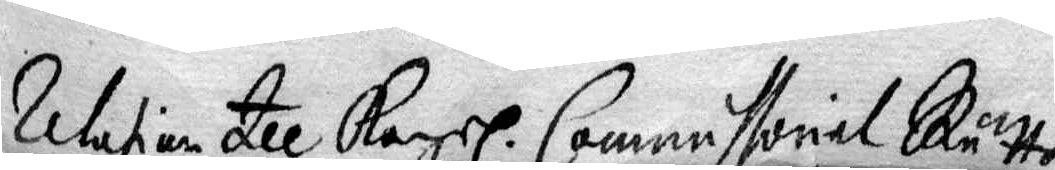Relation till Kongl. Commissorial Rätten
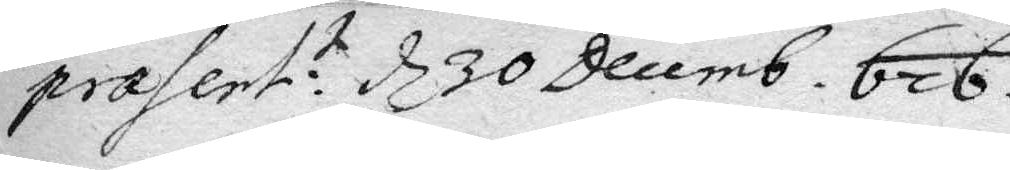præsent:t d 30 Decemb. 676.
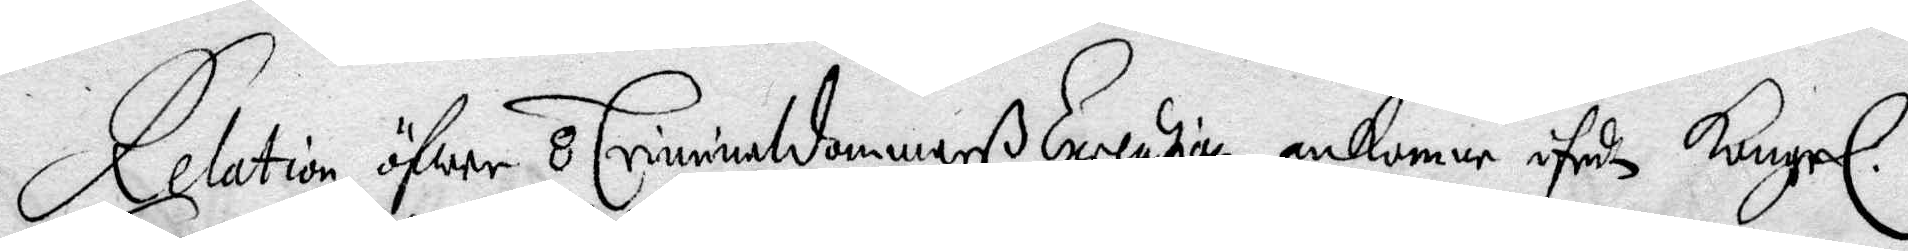Relation öfwer 8 Criminaldommarß Execution, ankomne ifrån Kongl.
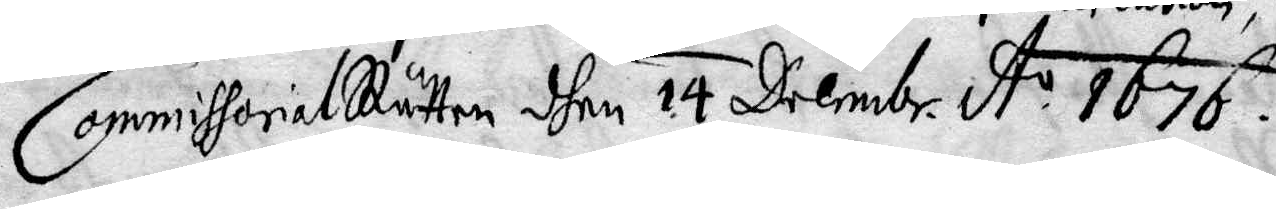CommissorialRätten dhen 14 Decembr. A. o 1676.
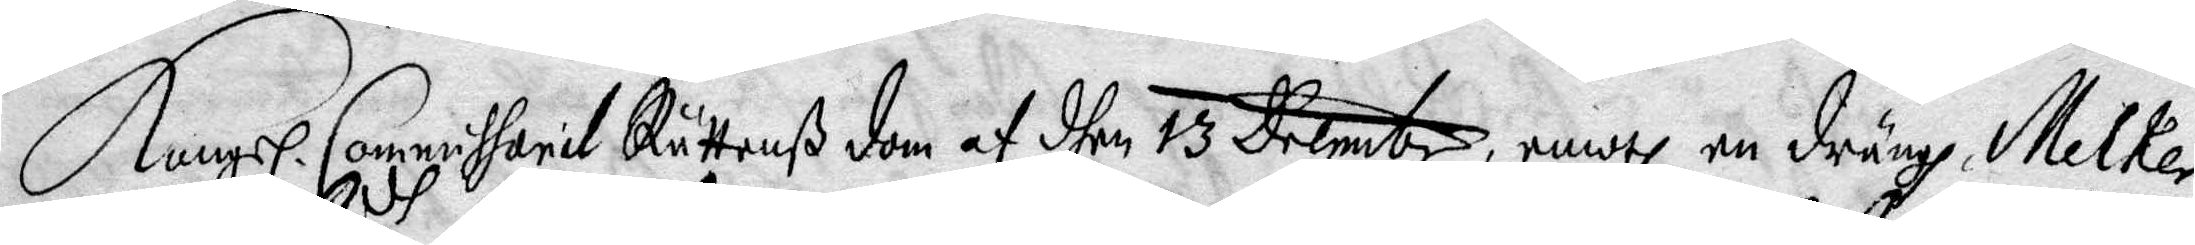Kongl. Commissorial Rättenß dom af dhen 13 Decembr. emodh en dräng, Melker
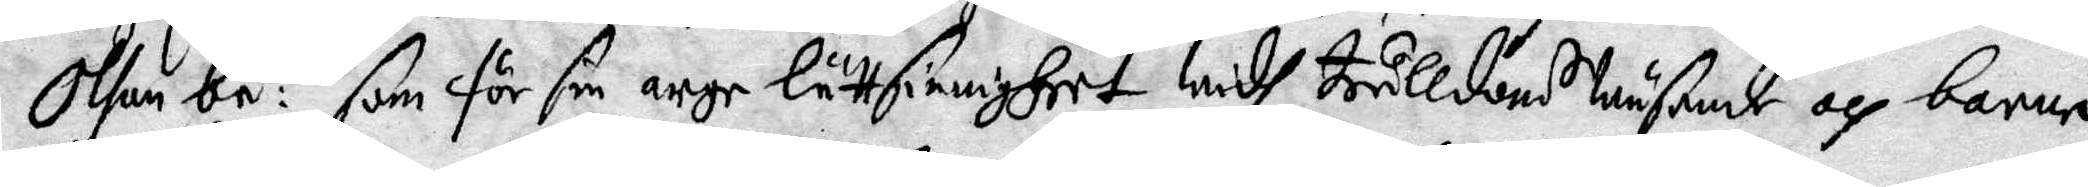Olsom be:dh som för sin arge lättsinnigheet widh trulldoms Wäsende och barne¬
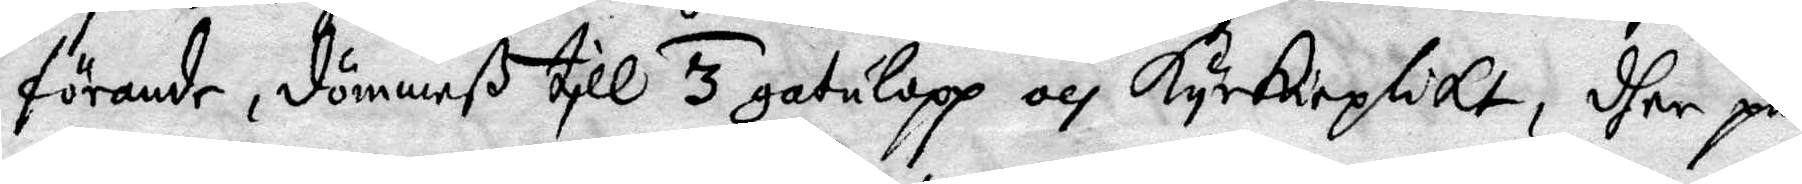förande, dömmeß till 3 gatulopp och Kyrkioplikt, dher på.
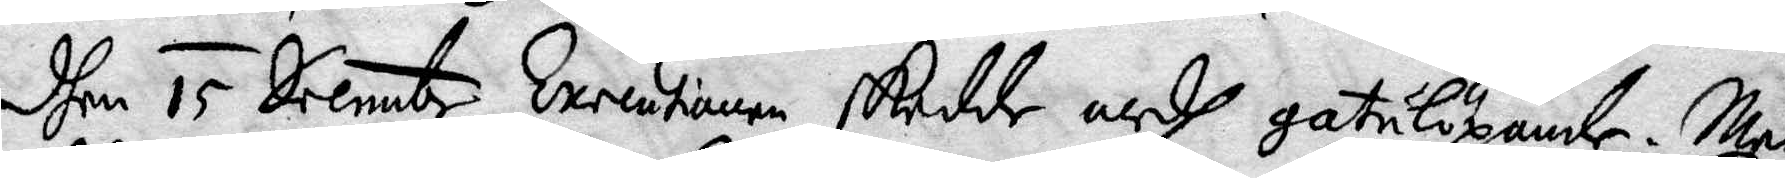dhen 15 Decembr Executionen skedde medh gatulöpande. Men
